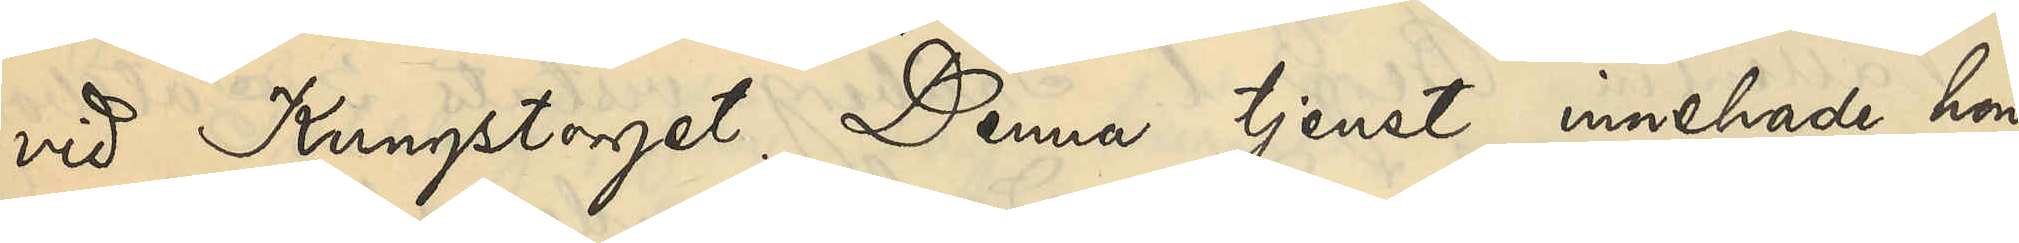vid Kungstorget. Denna tjenst innehade hon
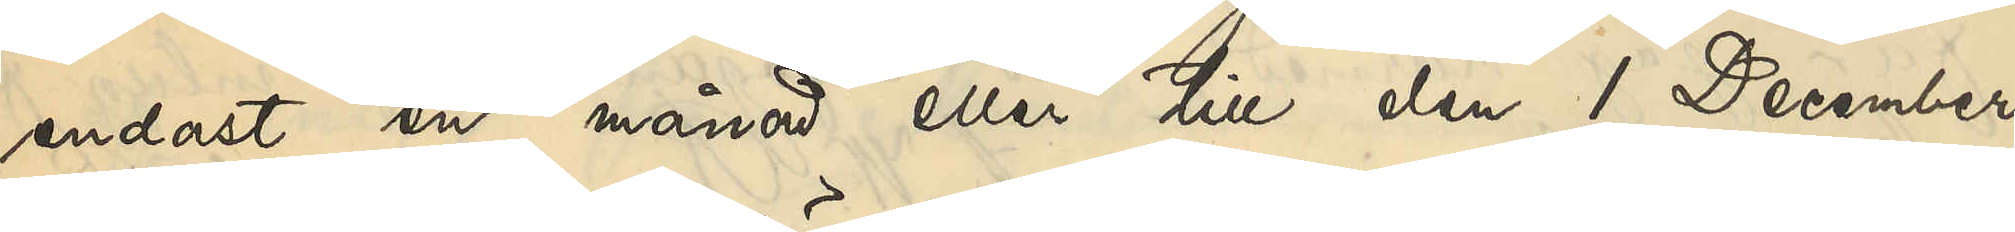endast en månad eller till den 1 December
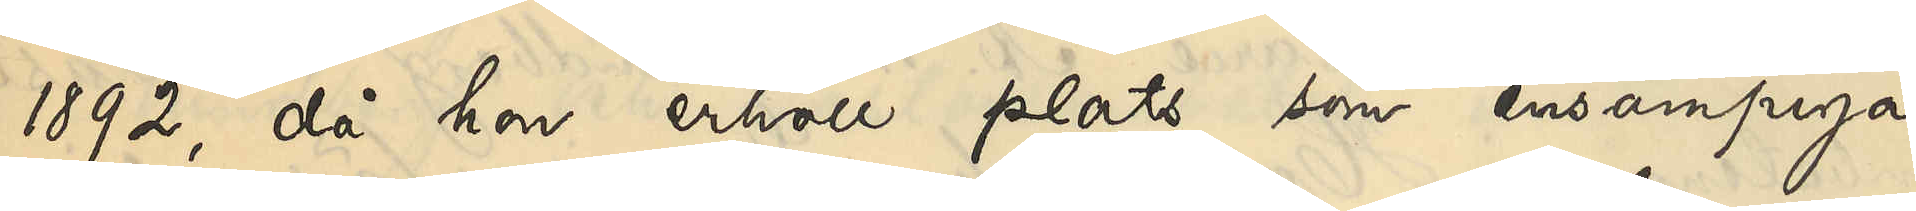1892, då hon erhöll plats som ensampiga
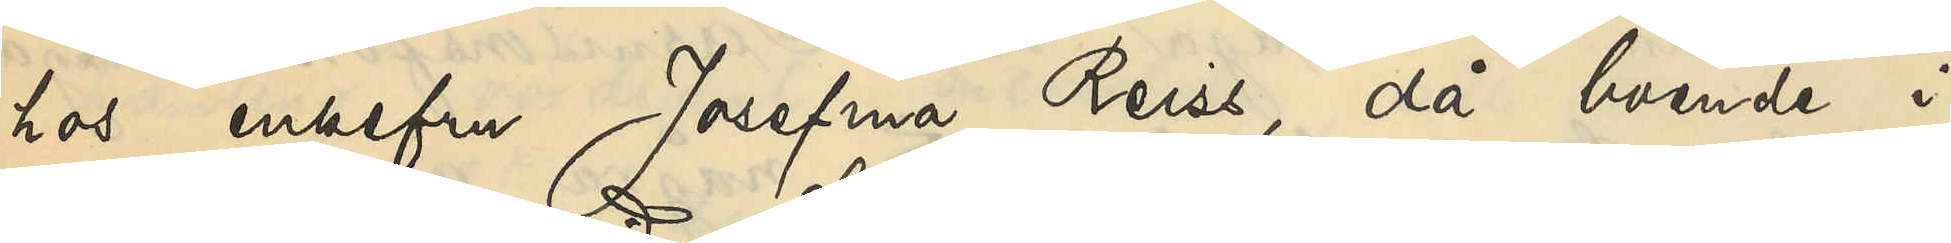hos enkefru Josefina Reiss, då boende i
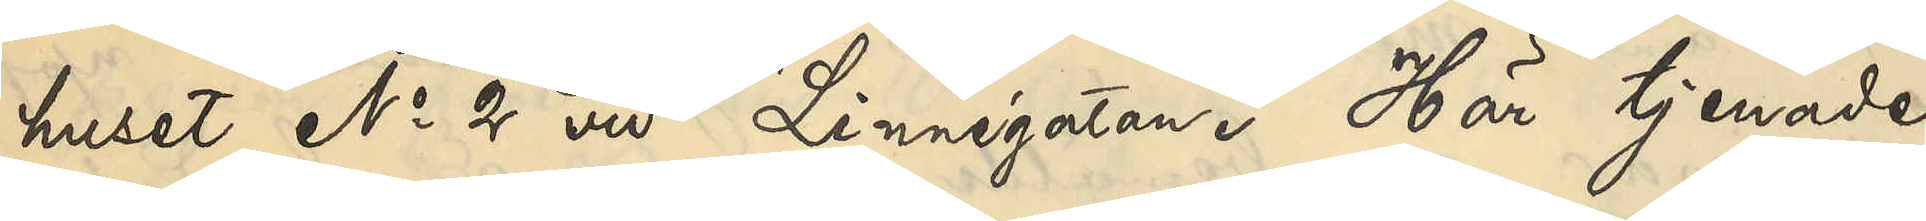huset No 2 vid Linnégatan. Här tjenade
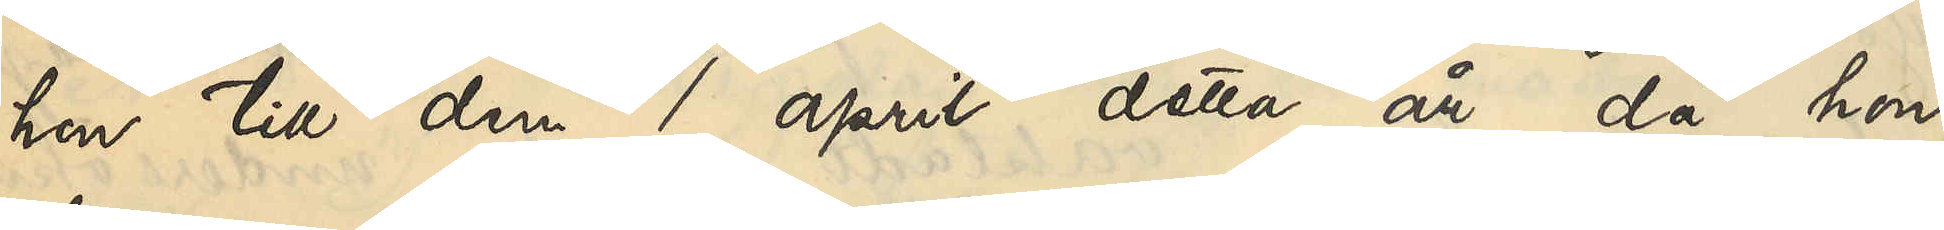hon till den 1 april detta år, då hon
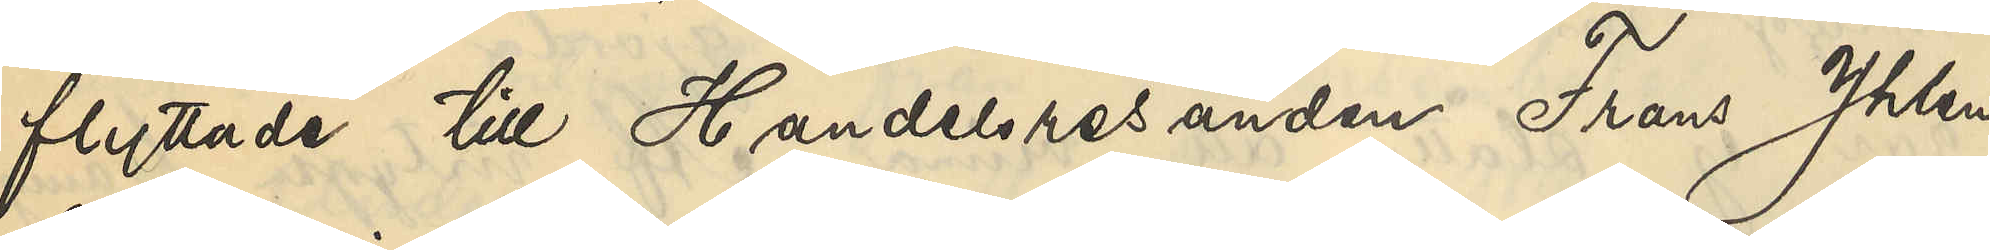flyttade till Handelsresanden Frans Yhlen,
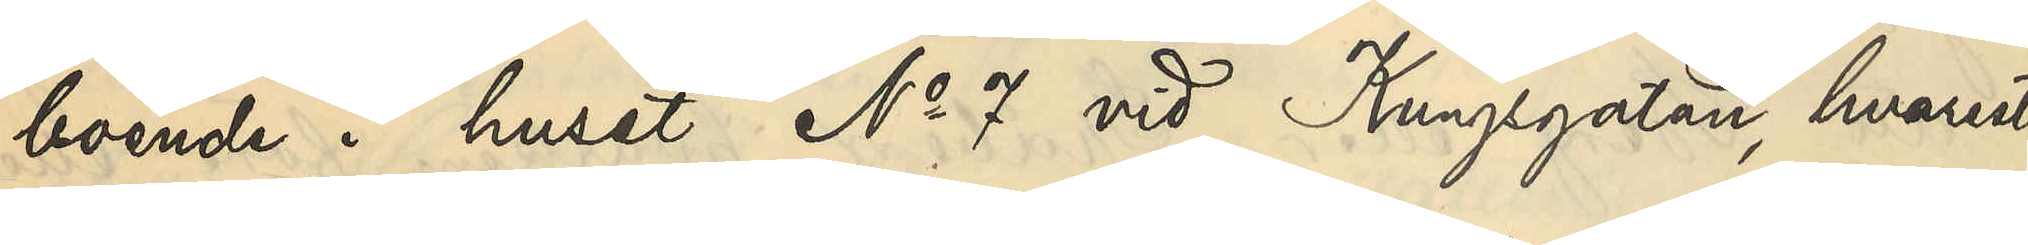boende i huset No 7 vid Kungsgatan, hvarest
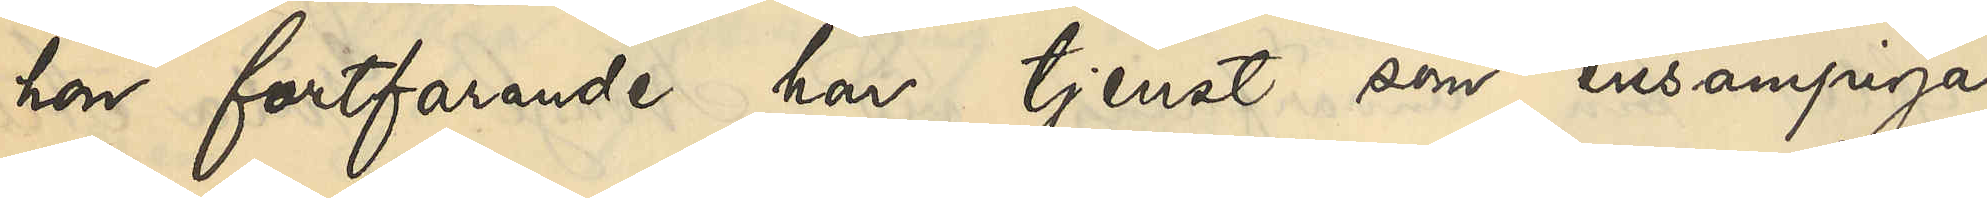hon fortfarande har tjenst som ensampiga.
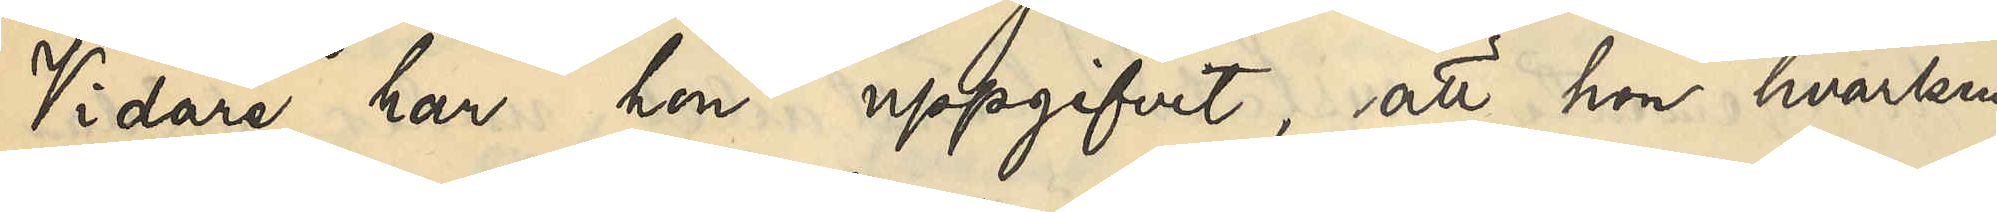Vidare har hon uppgifvit, att hon hvarken
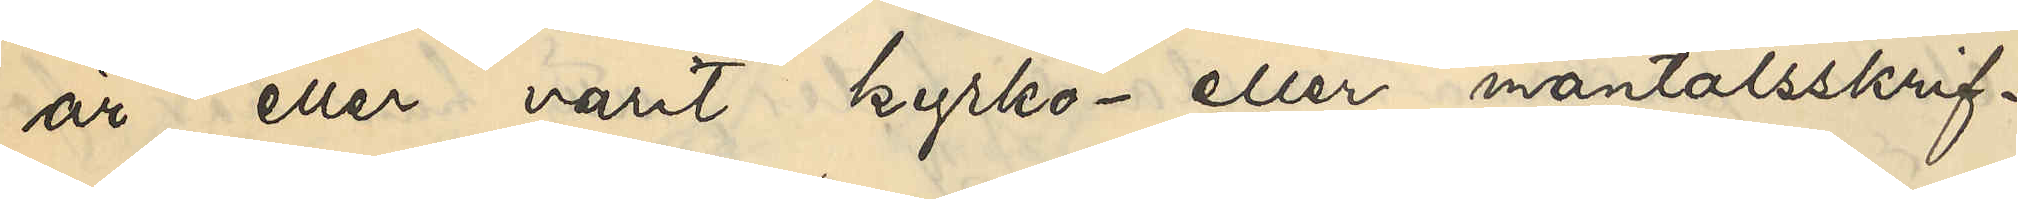är eller varit kyrko- eller mantalsskrif¬
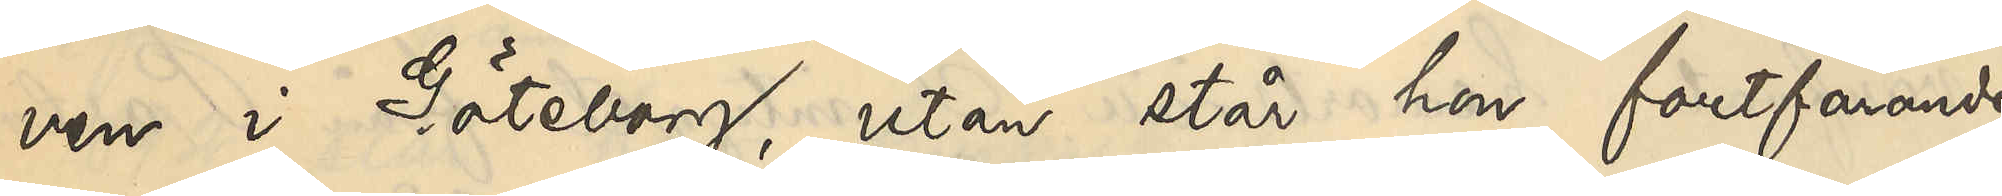ven i Göteborg, utan står hon fortfarande
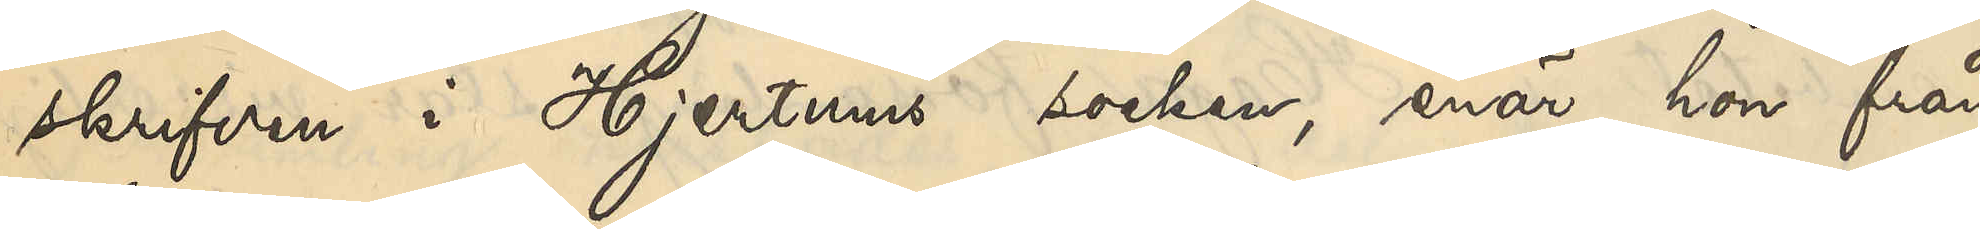skrifven i Hjertums socken, enär hon från
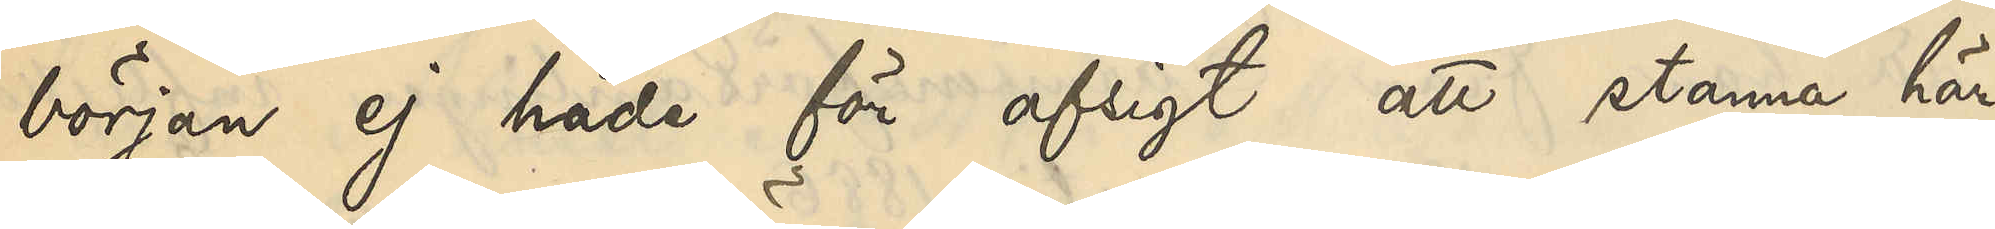början ej hade för afsigt att stanna här¬
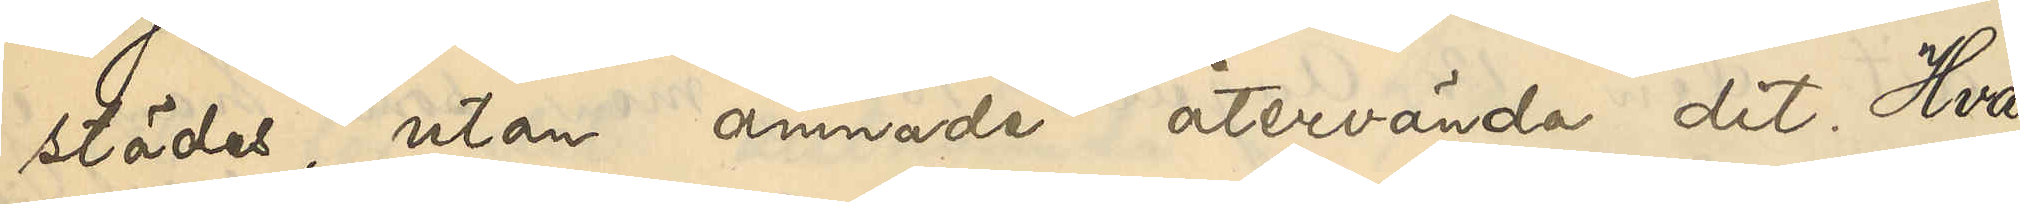städes, utan ämnade återvända dit. Hvad
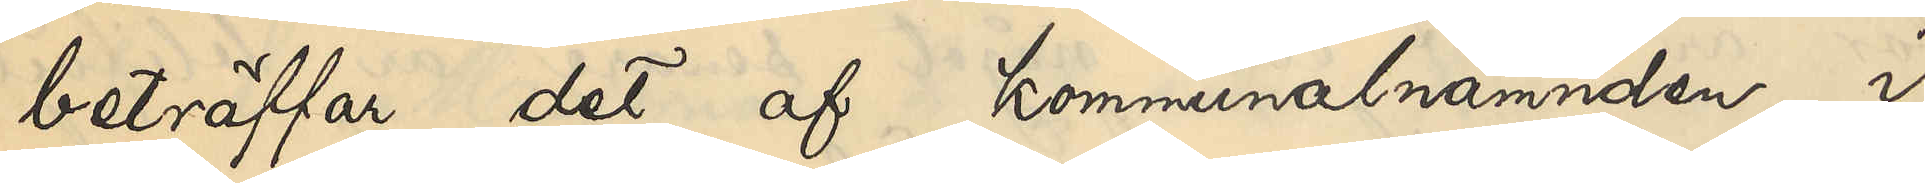beträffar det af kommunalnämnden i
